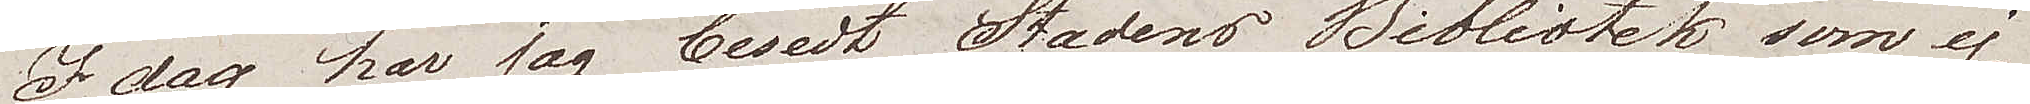Idag har jag besedt Stadens Bibliotek som ej
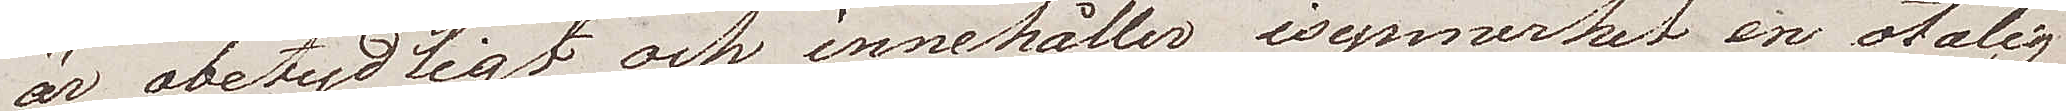är obetydligt och innehåler i synnerhet en otalig
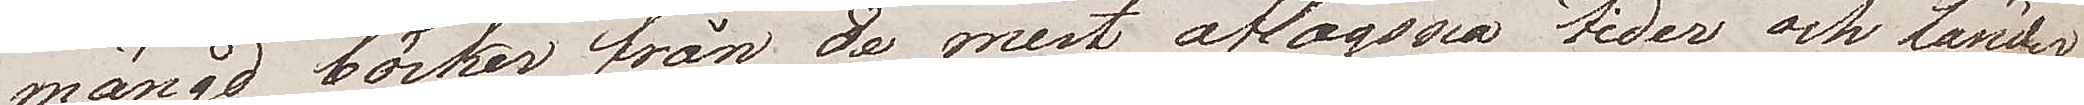mängd böcker från de mest aflägsna tider och länder.
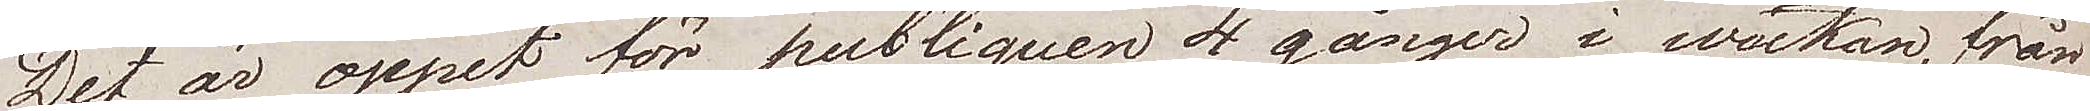Det är öppet för publiquen 4 gånger i wäckan, från
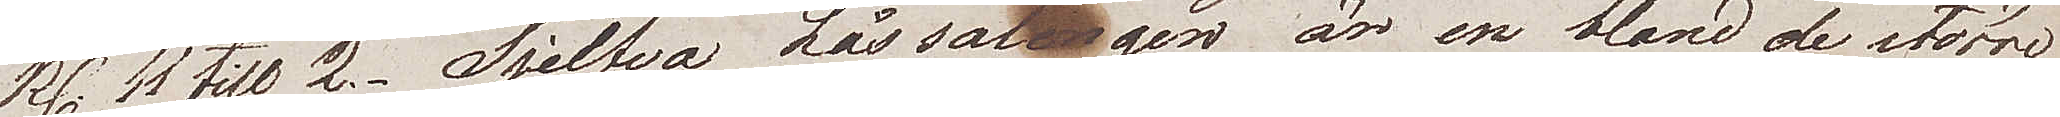kl. 11 till 2. Sjelfva Lässalongen är en bland de större
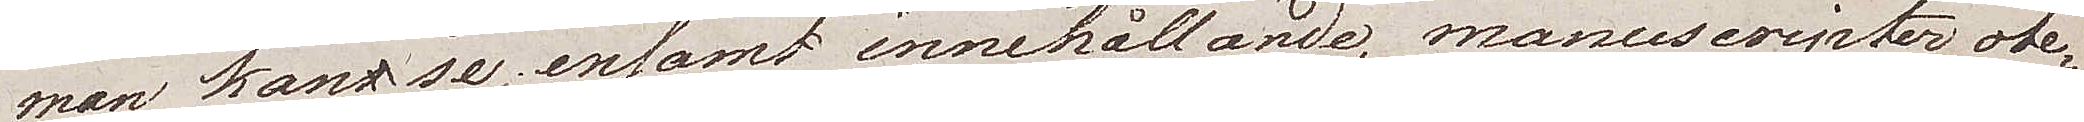man kan se, ensamt innehållande, manuscripter obe¬
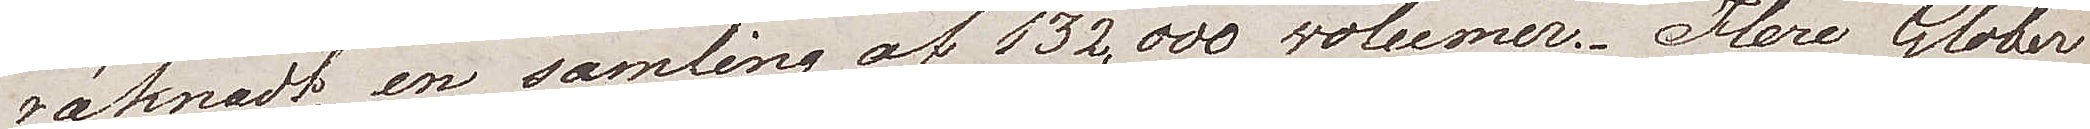räknadt, en samling av 132,000 volumer. Flere Glober
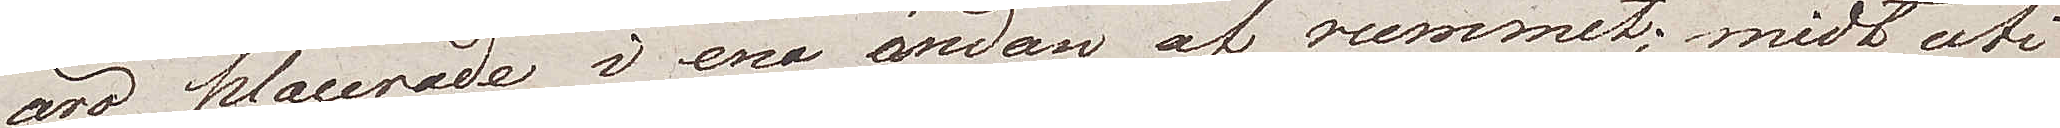äro placerade i ena ändan af rummet, midt uti
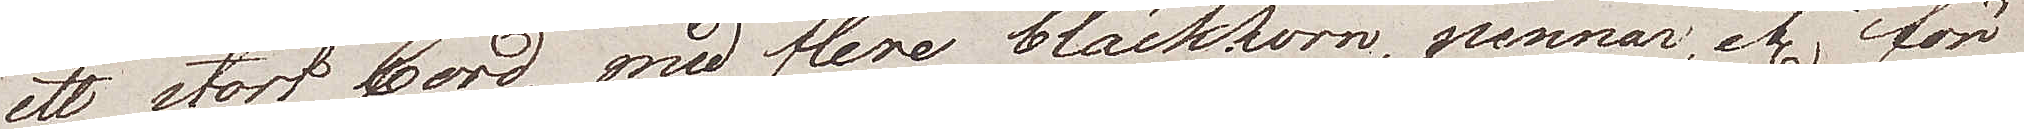ett stort bord, med flere bläckhorn, pennor, etc för
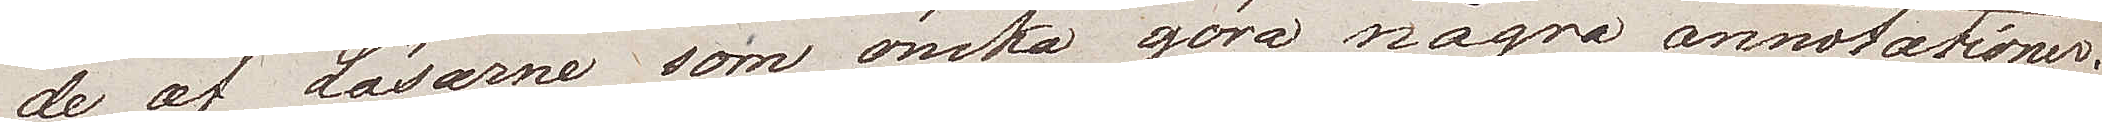de av Läsarne som önska göra några annotationer.
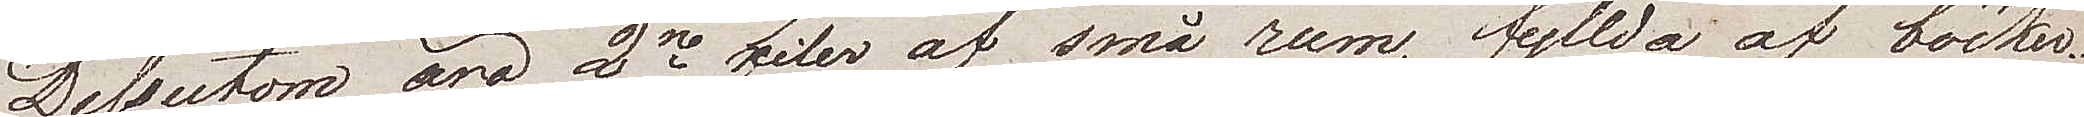Dessutom äro 2ne filer af små rum, fyllda af böcker.
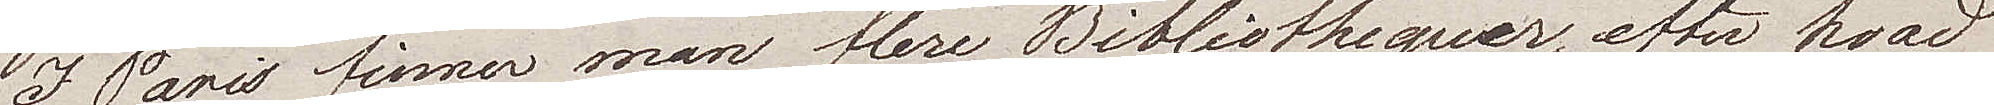I Paris finner man flere Bibliotequer, efter vad
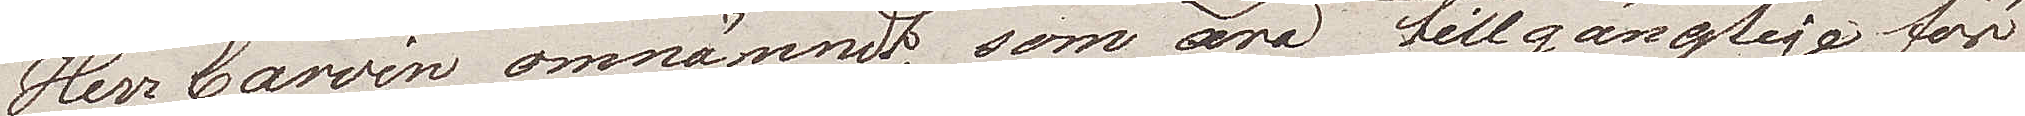Herr Carvin omnämndt, som äro tillgängliga för
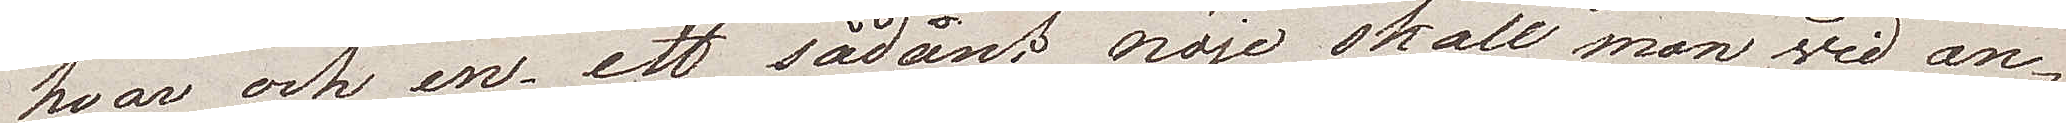hvar och en, ett sådant nöje skall man vid an¬
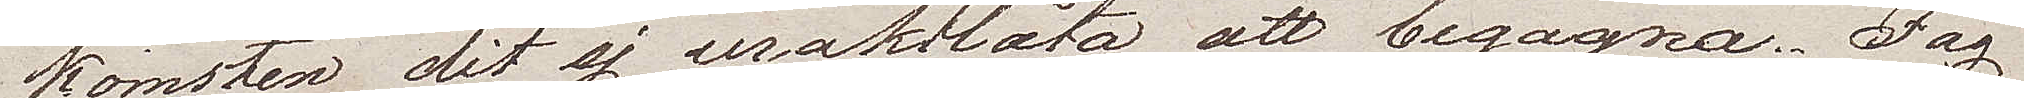komsten dit ej uraktlåta att begagna. Jag
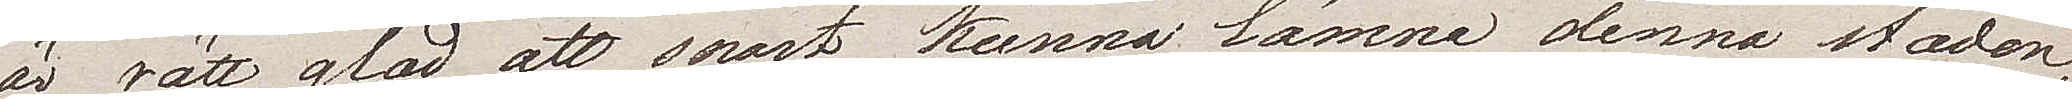är rätt glad att snart kunna lämna denna staden,
